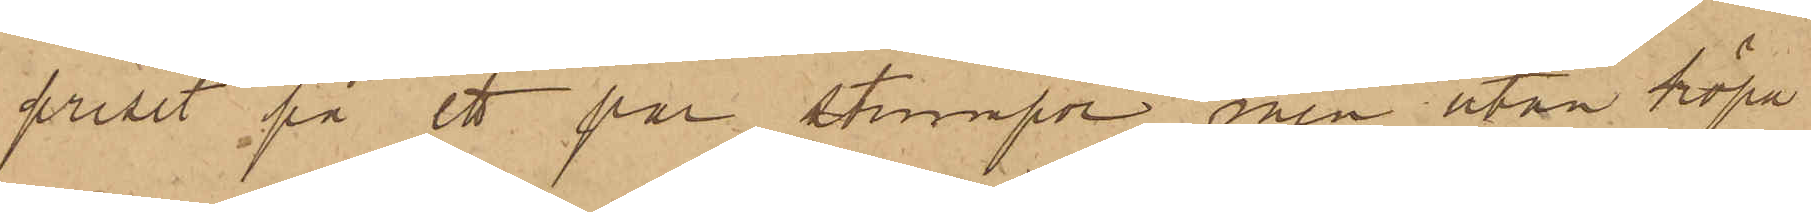priset på ett par strumpor, men utan köpa
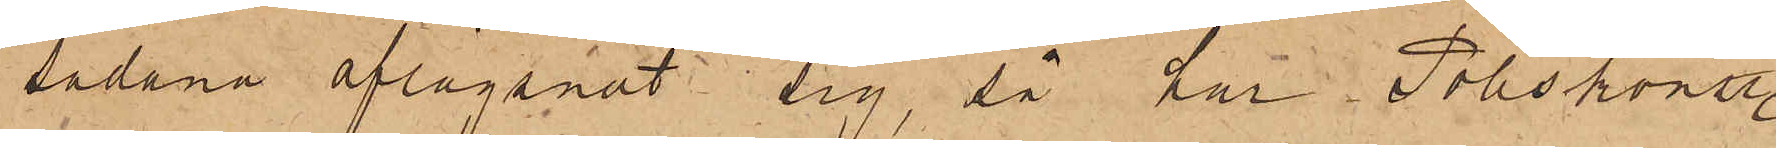sådana aflägsnat sig, så har Poliskonst.
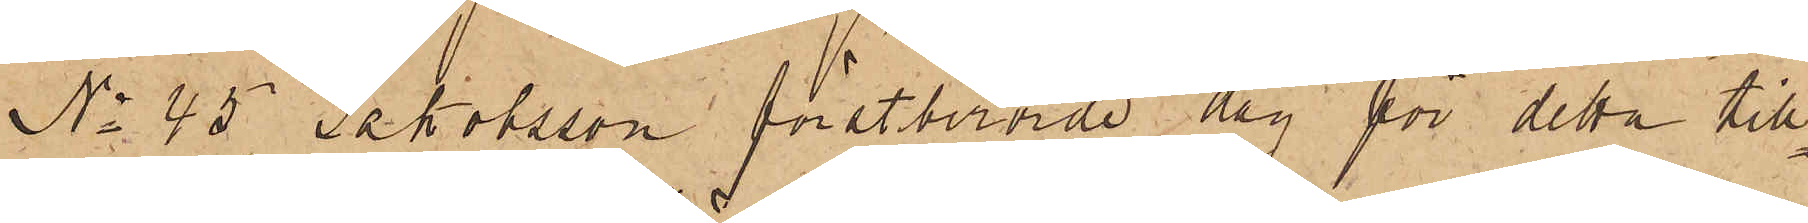No 45 Jakobsson förstberörde dag för detta till¬
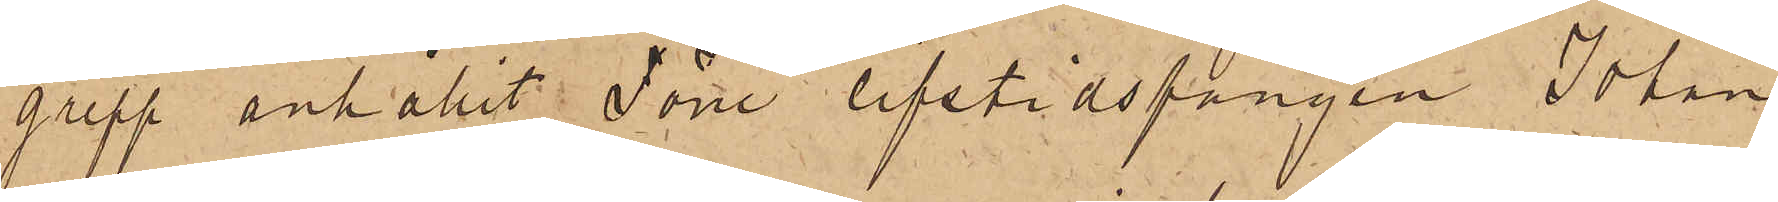grepp anhållit Förre lifstidsfången Johan
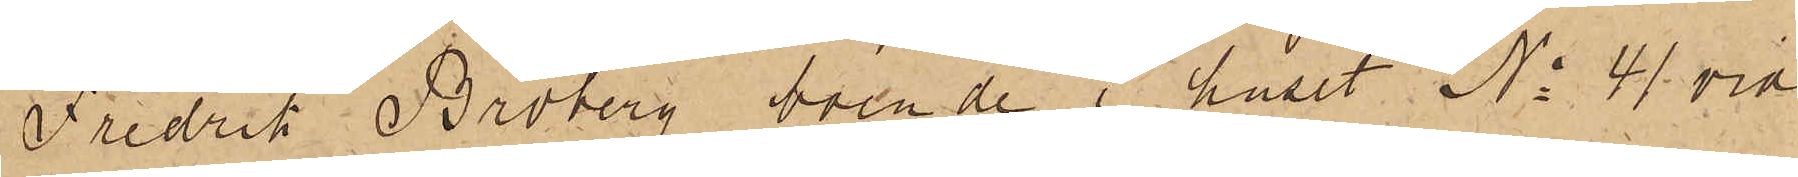Fredrik Broberg, boende i huset No 41 vid
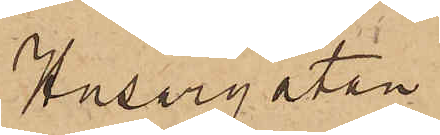Husargatan.
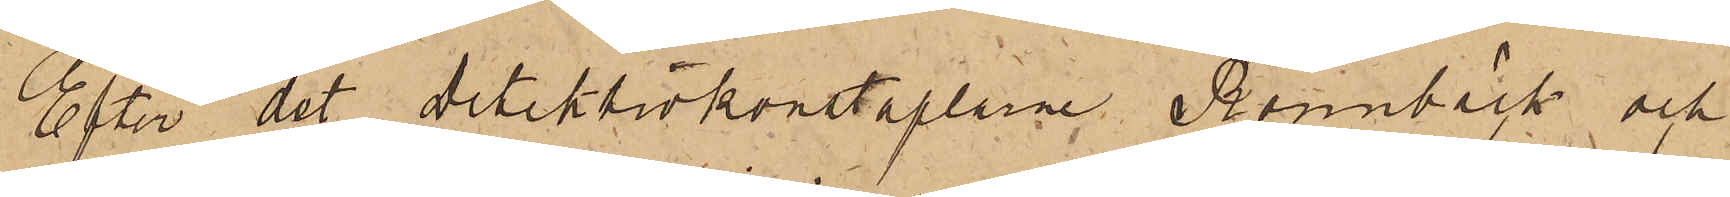Efter det detektivkonstaplarne Rönnbäck och
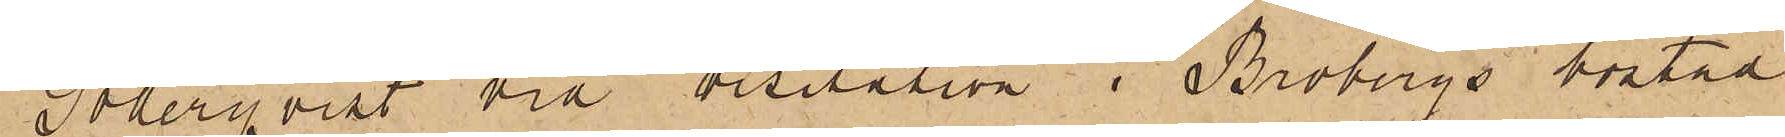Söderqvist vid visitation i Brobergs bostad
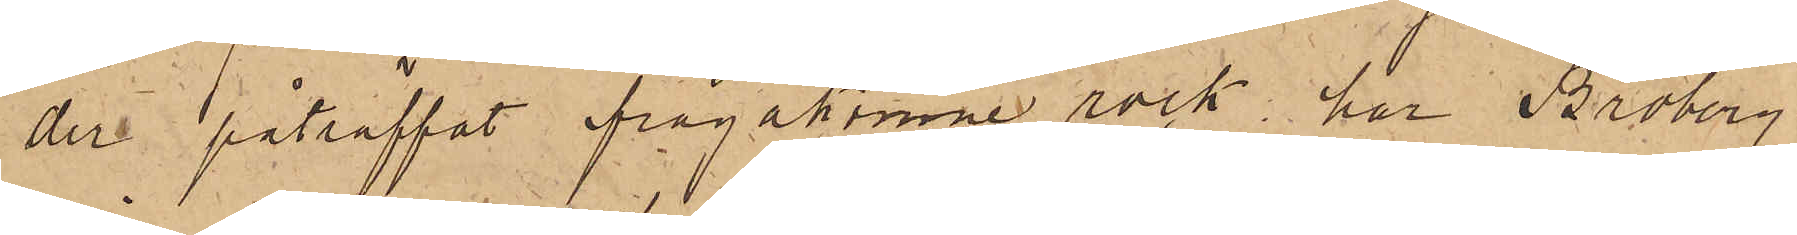der påträffat ifrågakomne rock har Broberg
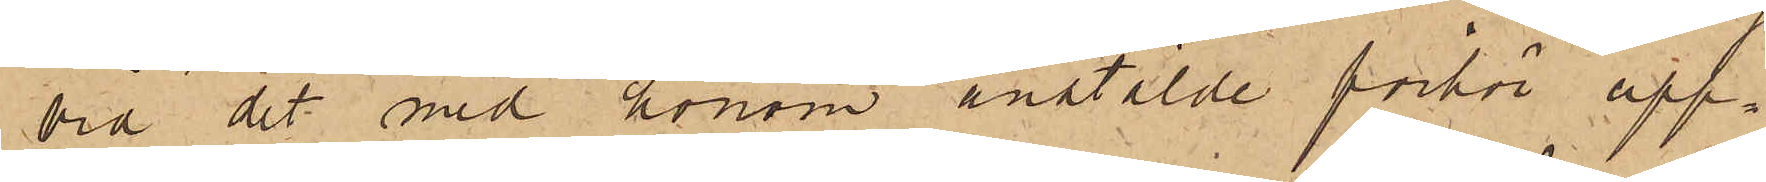vid det med honom anstälde förhör upp¬
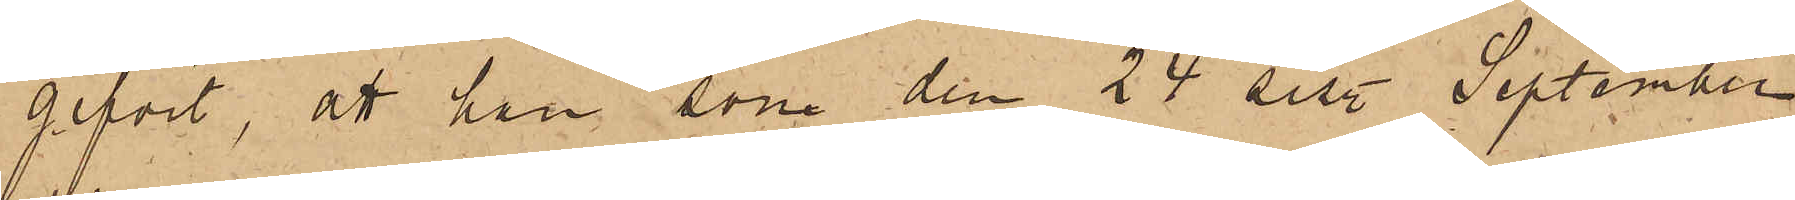gifvit, att han, som den 24 sist. September
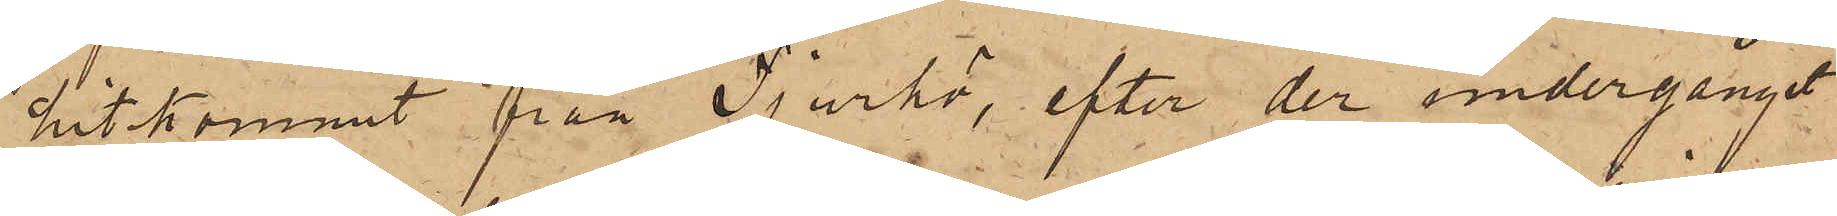hitkommit från Tjurkö, efter der undergånget
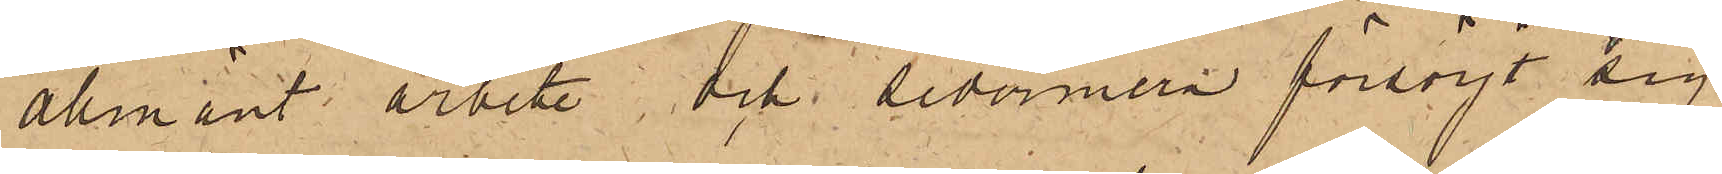allmänt arbete, och sedermera försörjt sig
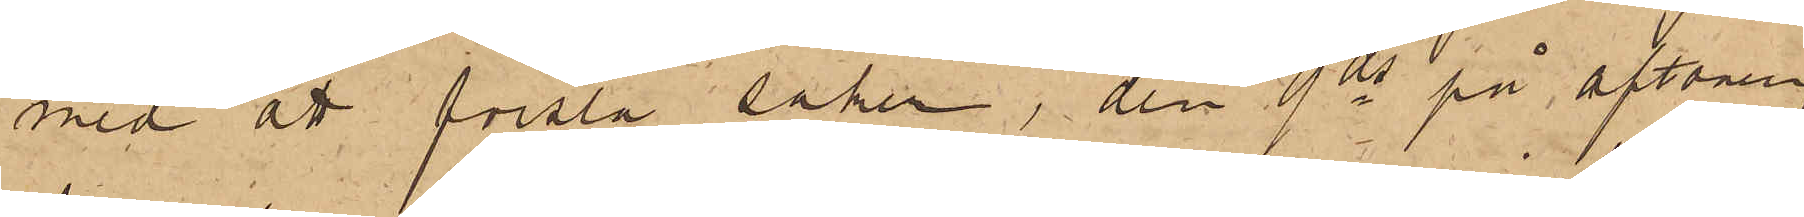med att forsla saker, den 9 ds på aftonen
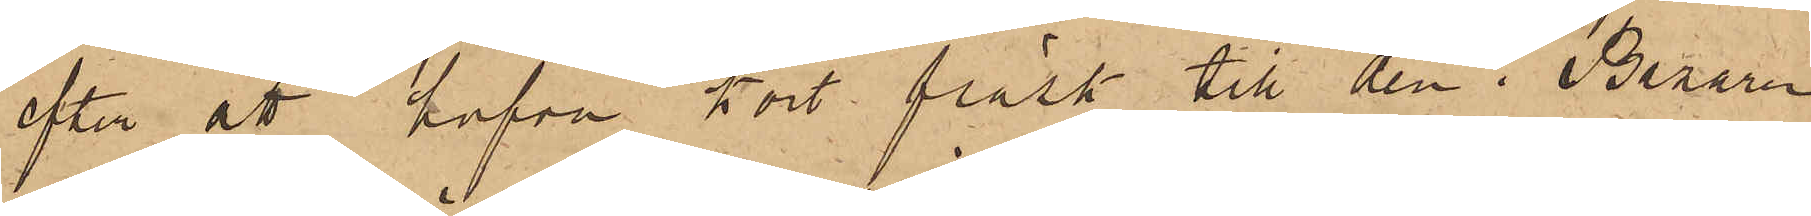efter att hafva kört fläsk till den i Bazaren
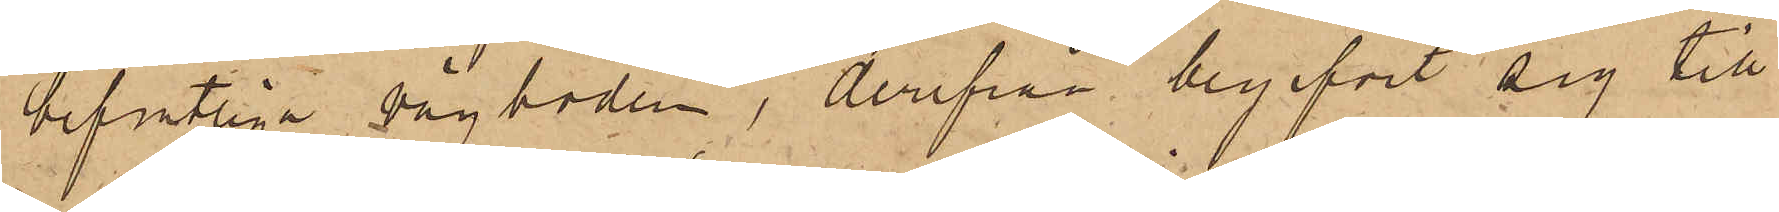befintliga vågboden, derifrån begifvit sig till
